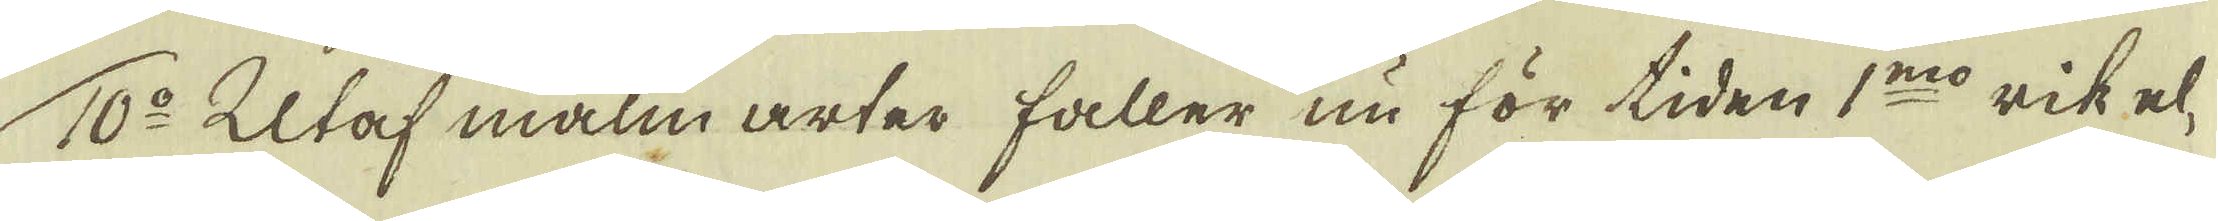10:o Utaf malm arter faller nu för tiden 1:mo rik el-
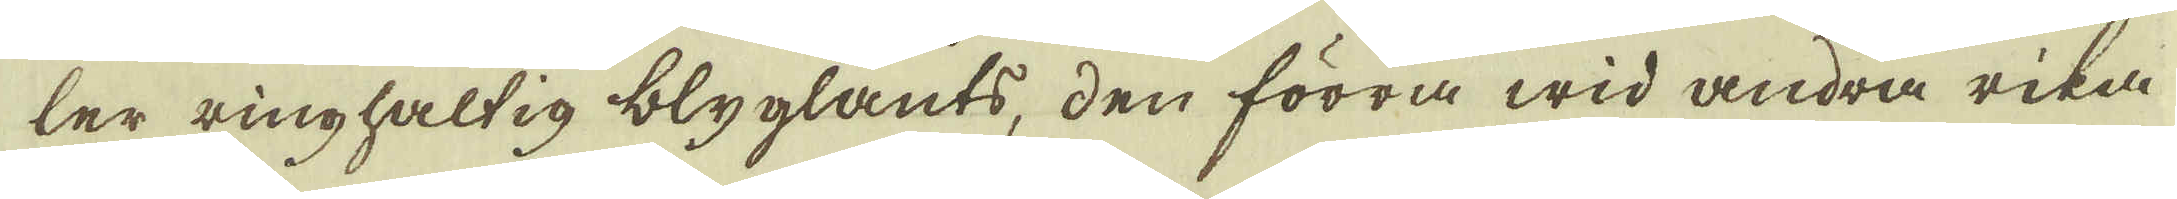ler ringhaltig blyglants, den förra wid andra rika
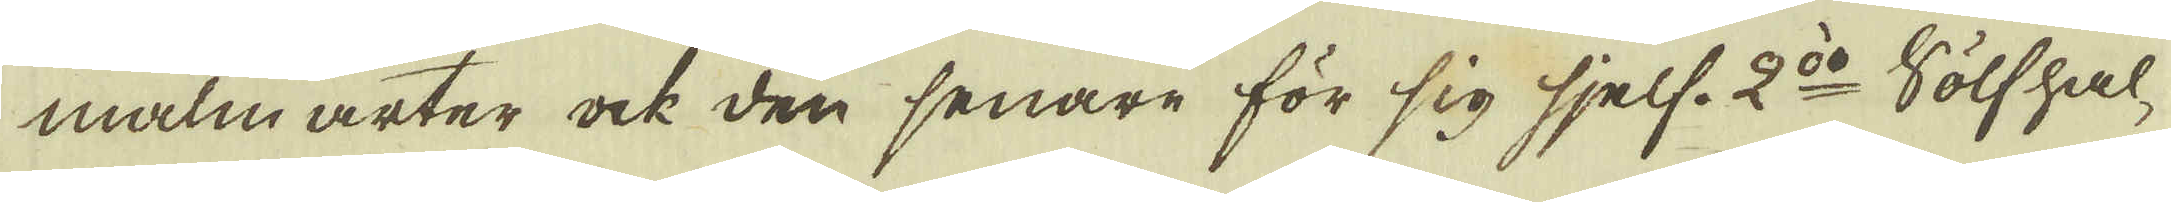malm arter ock den senare för sig sjelf. 2:do Sölfhal-
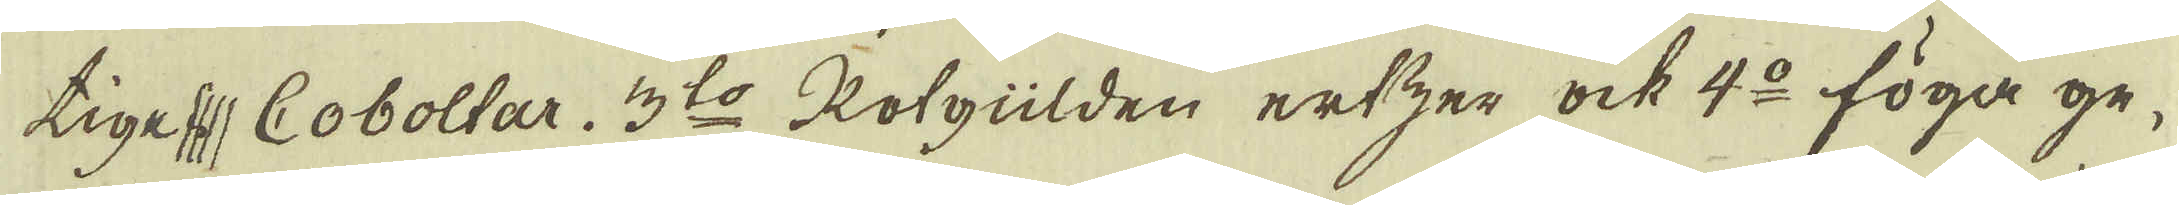tiga Coboltar. 3:to Kolgülden ertzer ock 4:o föga ge-
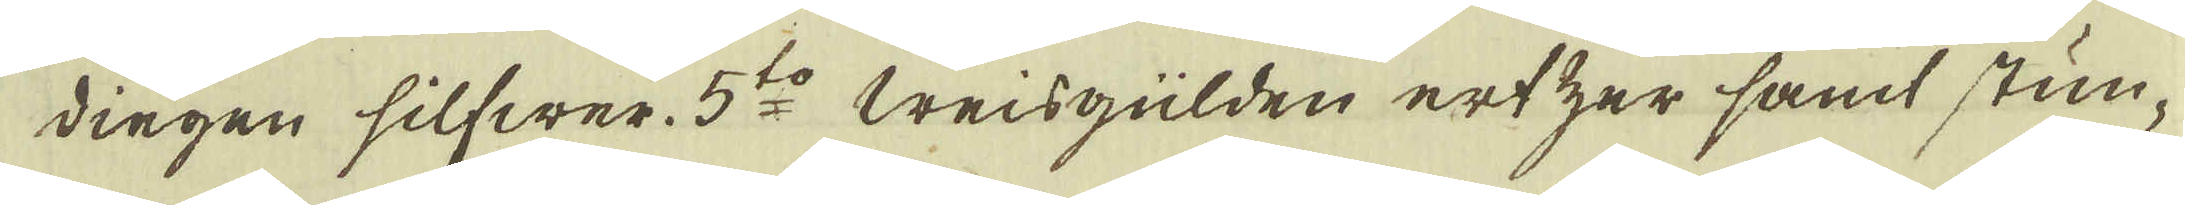dingen silfwer. 5:o Weisgülden ertzer samt stun-
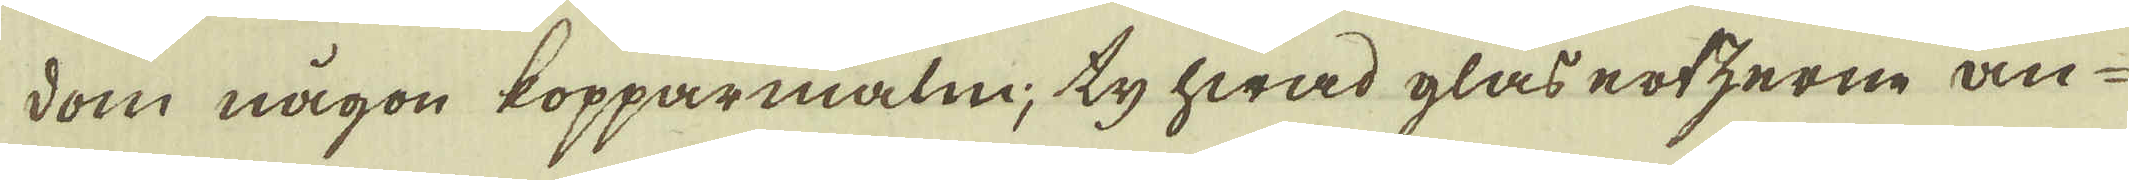dom någon kopparmalm, ty hwad glas ertzerne an-
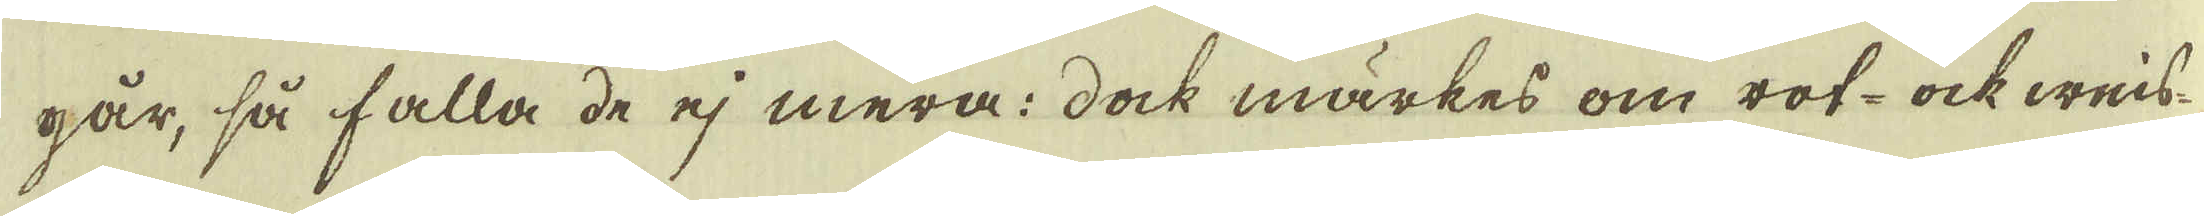går, så falla de ej mera; dock märkes om rot- ock weis-
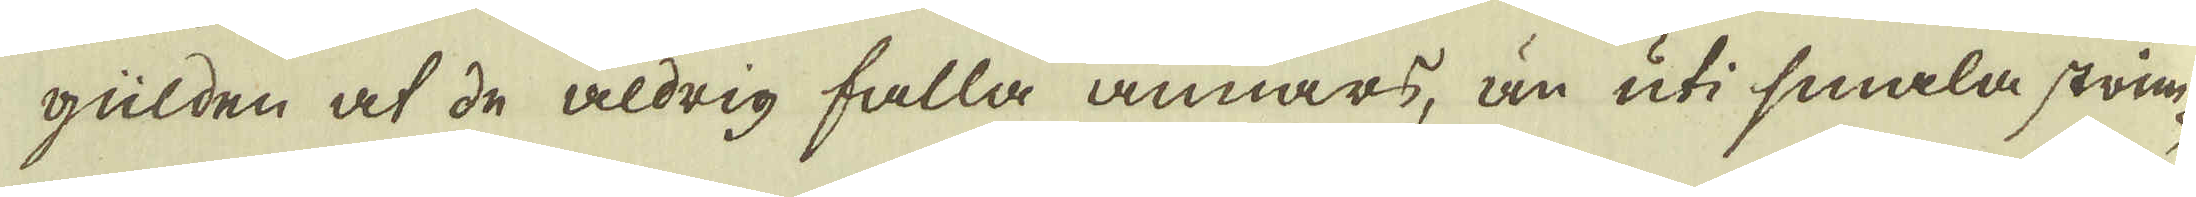gülden at de aldrig falla annars, än uti smala strim-
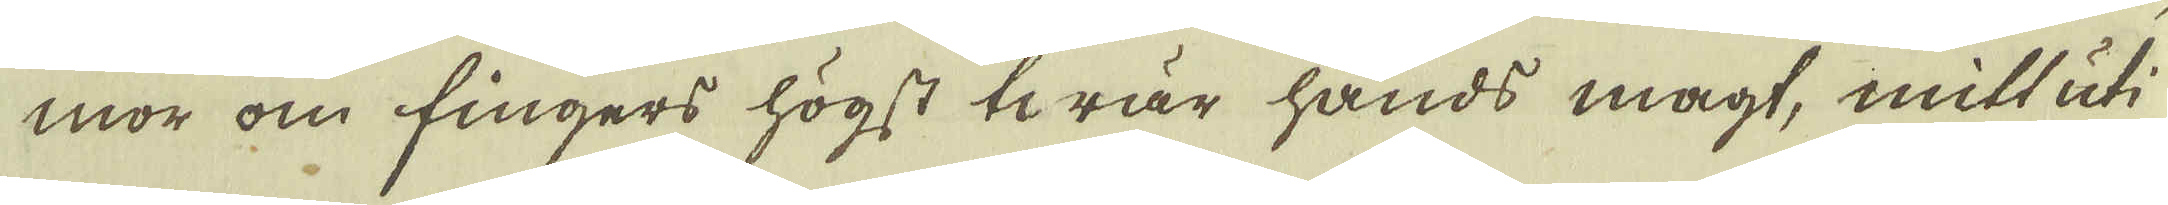mor om fingers högst twär hands magt, mitt uti
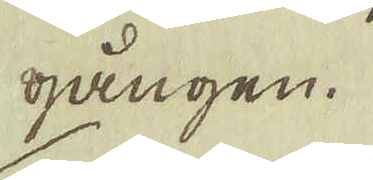gången.
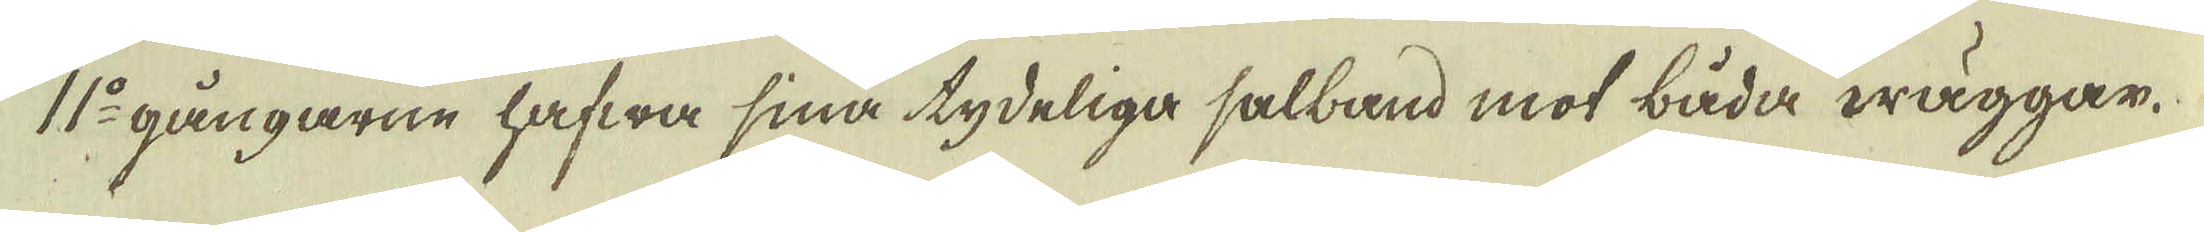11:o gångarne hafwa sina tydeliga salband mot båda wäggar.
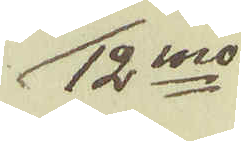12:mo
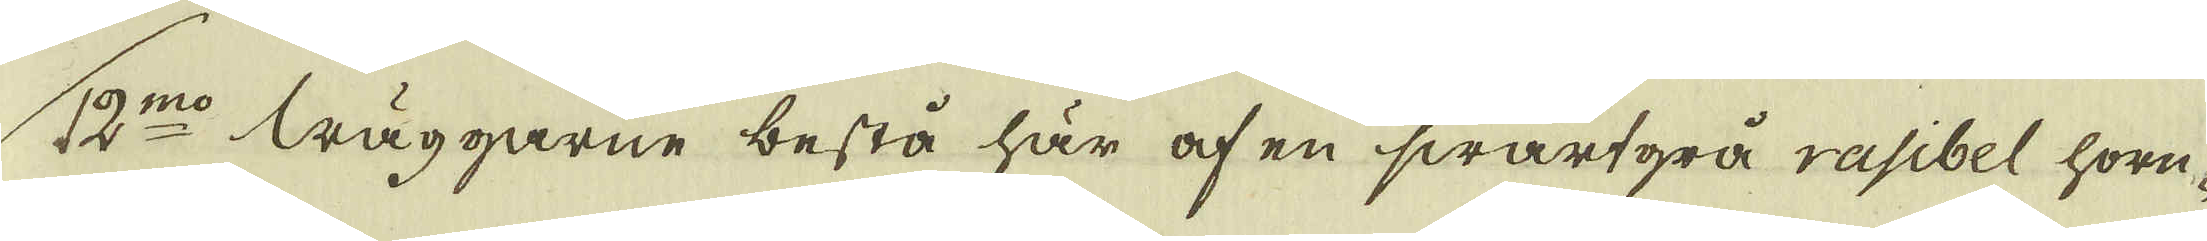12:mo läggarne bestå här af en swartgrå rasibel horn-
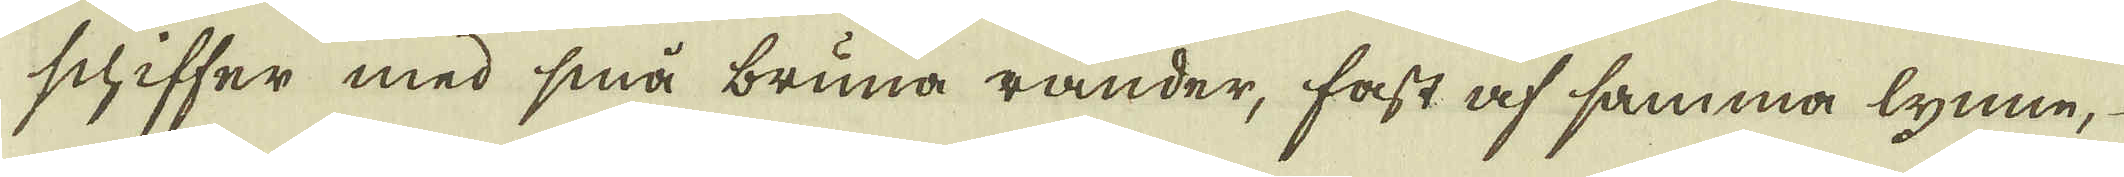schiffer med små bruna rander, fast af samma lynne,
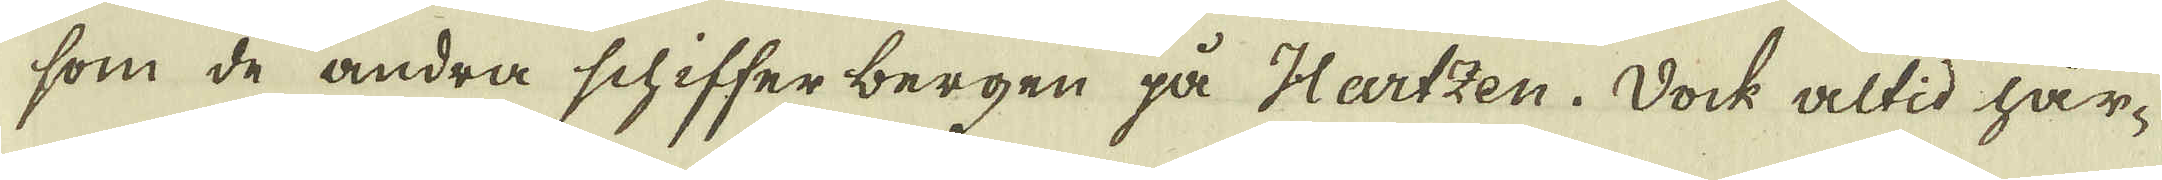som de andra schiffer bergen på Hartzen. Dock altid hår-
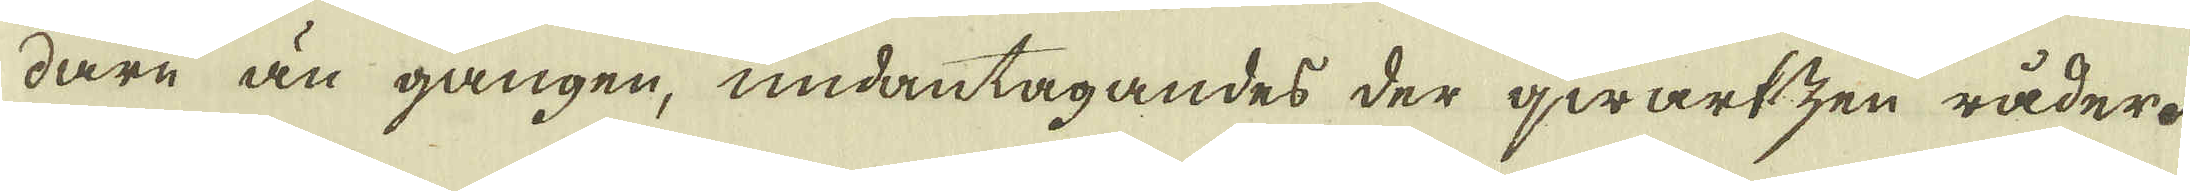dare än gången, undantagandes der qwartzen råder.
